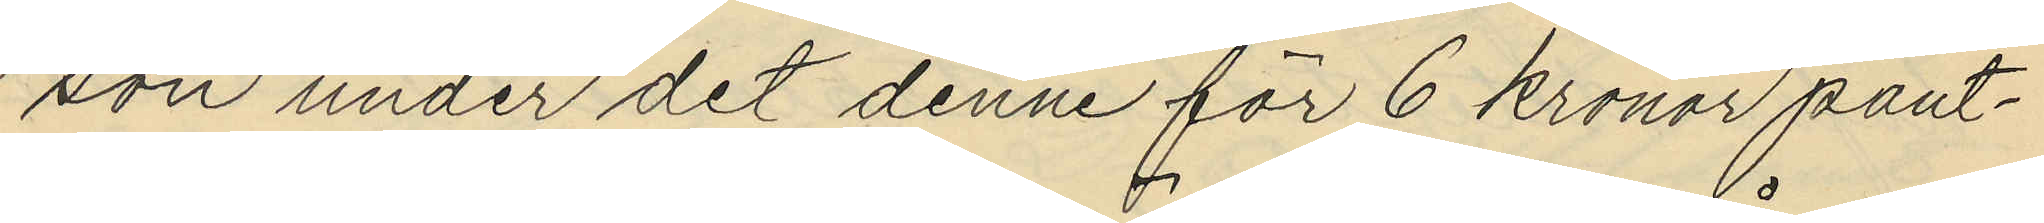son under det denne för 6 kronor pant¬
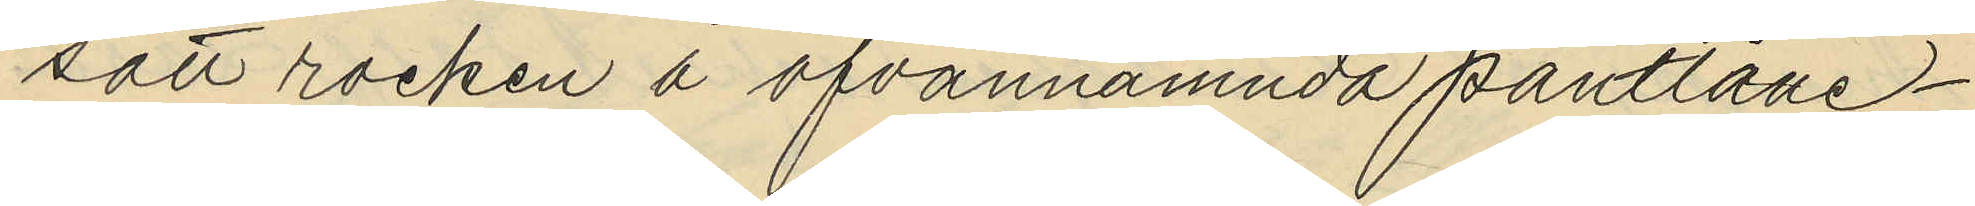sätt rocken å ofvannämnda pantlåne¬
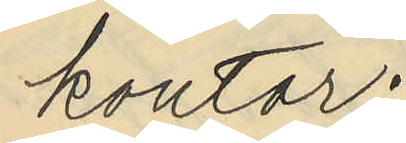kontor;
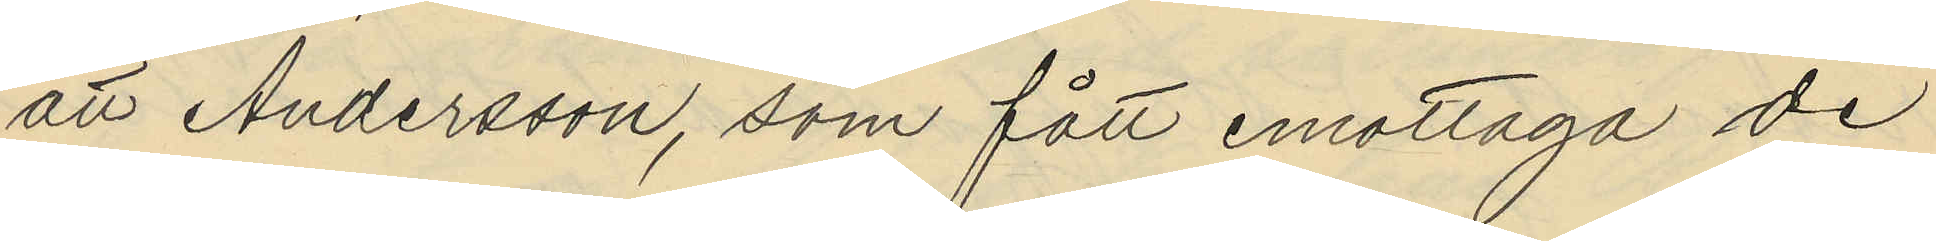att Andersson, som fått emottaga de
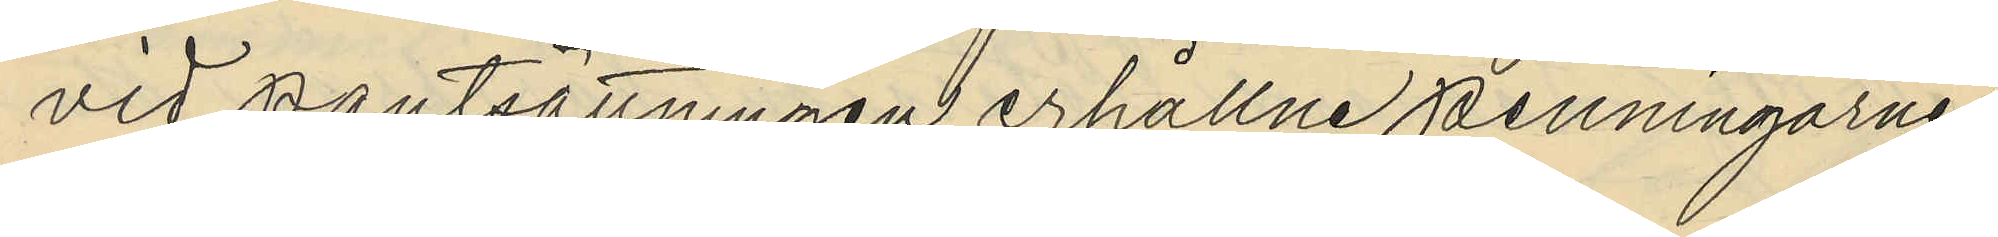vid pantsättningen erhållne penningarne
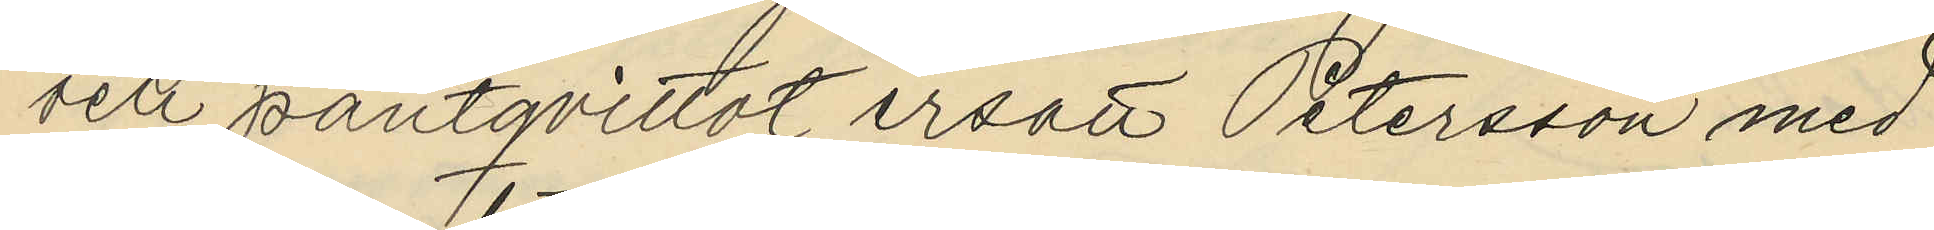och pantqvittot ersätt Petersson med
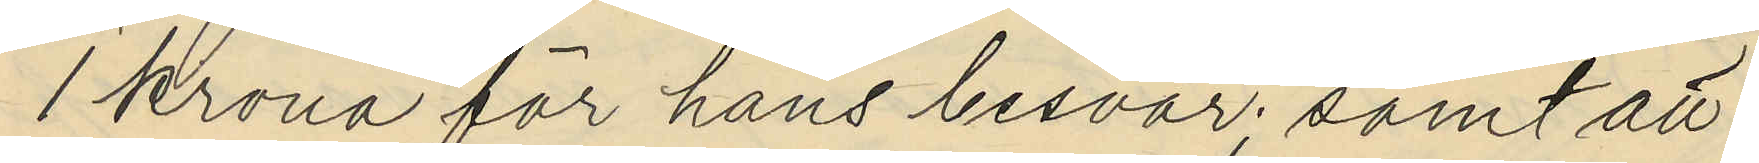1 krona för hans besvär; samt att
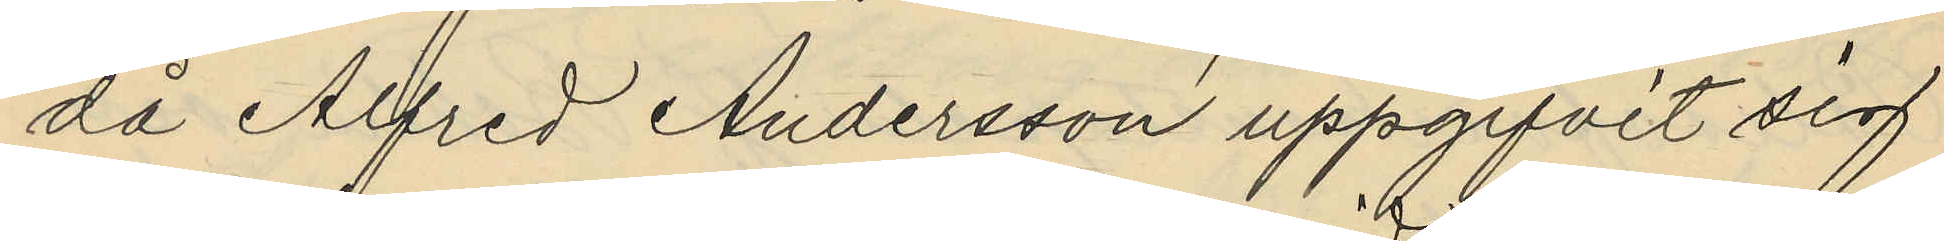då Alfred Andersson uppgifvit sig
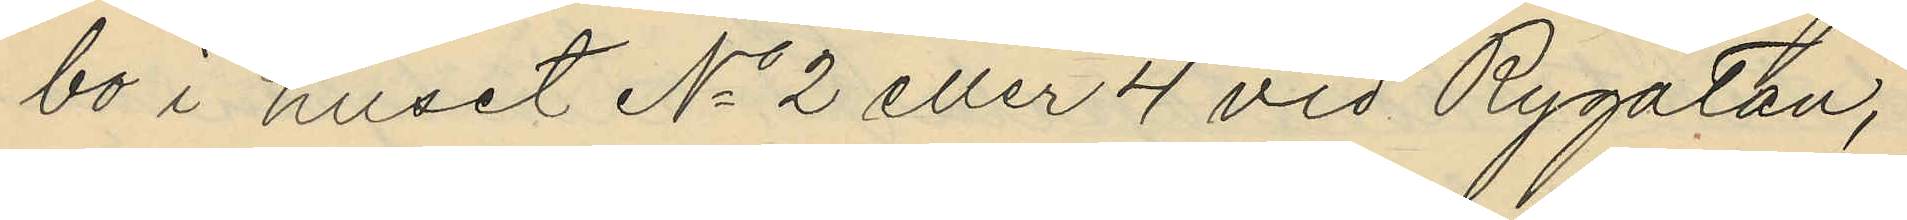bo i huset No 2 eller 4 vid Rygatan,
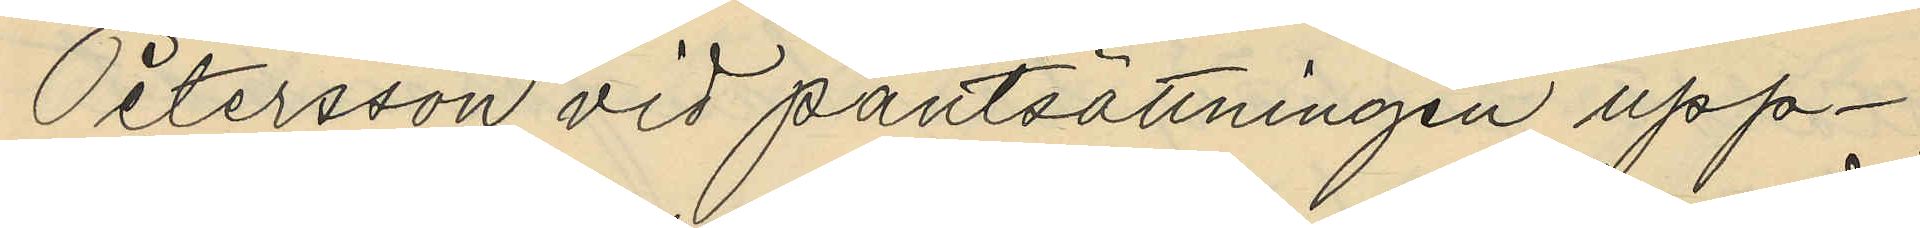Petersson vid pantsättningen upp¬
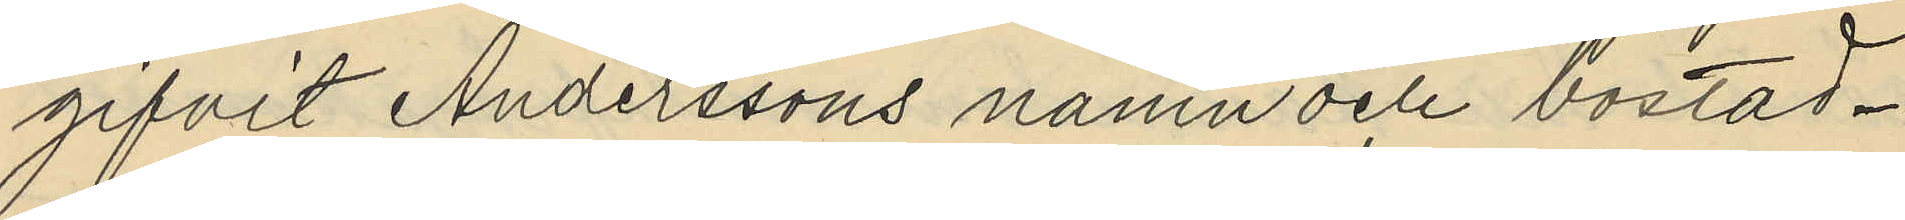gifvit Anderssons namn och bostad.
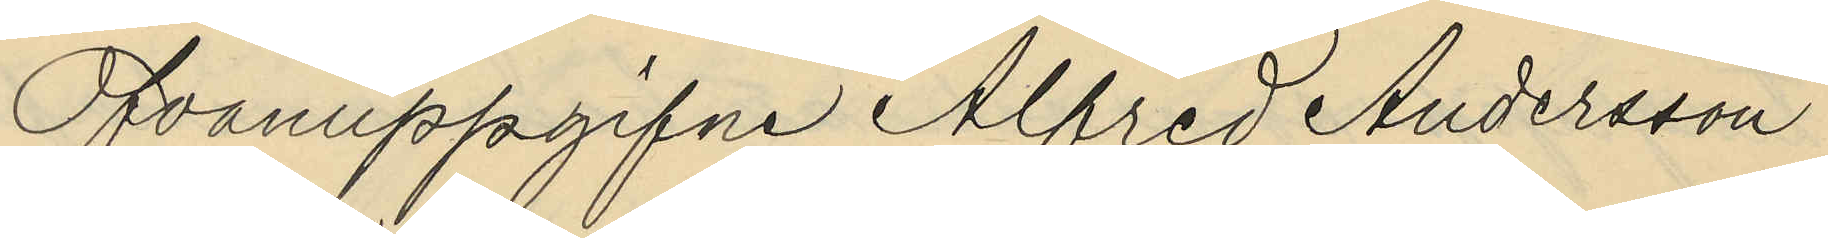Ofvanuppgifne Alfred Andersson
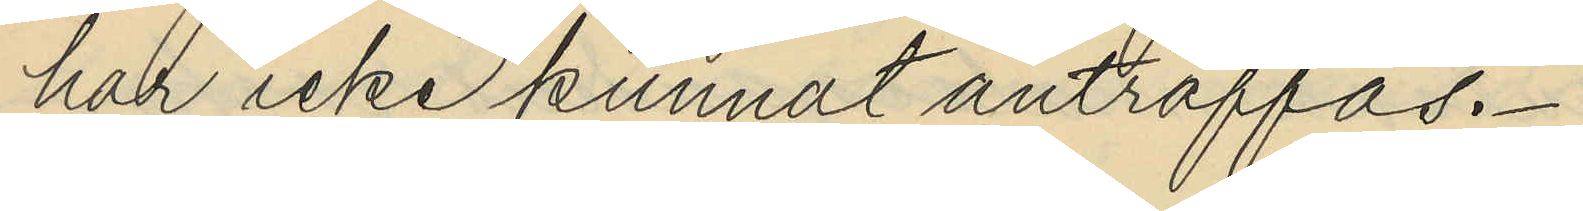har icke kunnat anträffas.
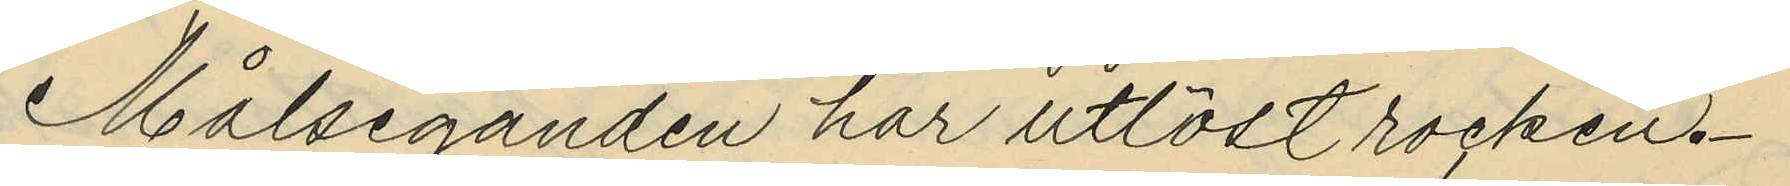Målseganden har utlöst rocken.
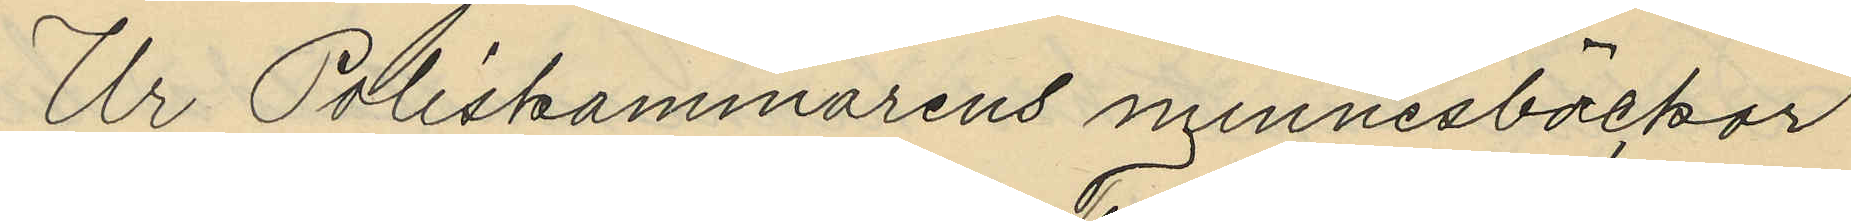Ur Poliskammarens minnesböcker
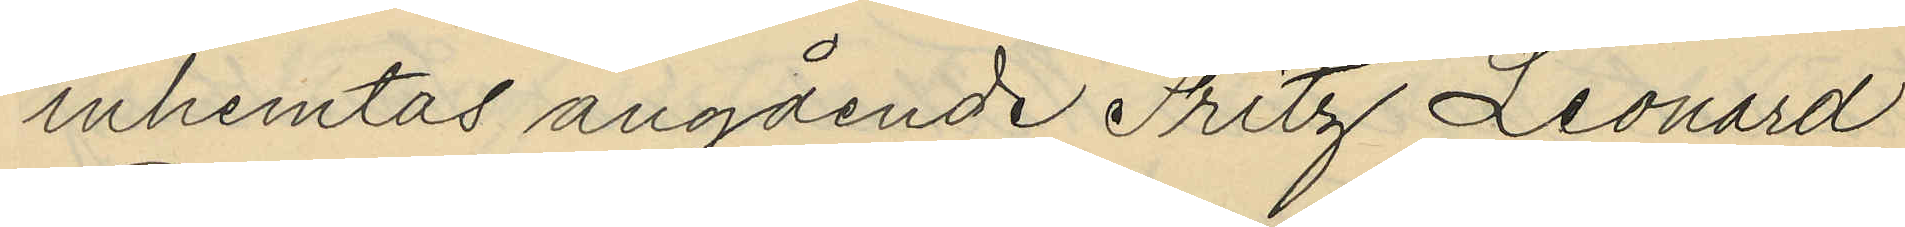inhemtas angående Fritz Leonard
